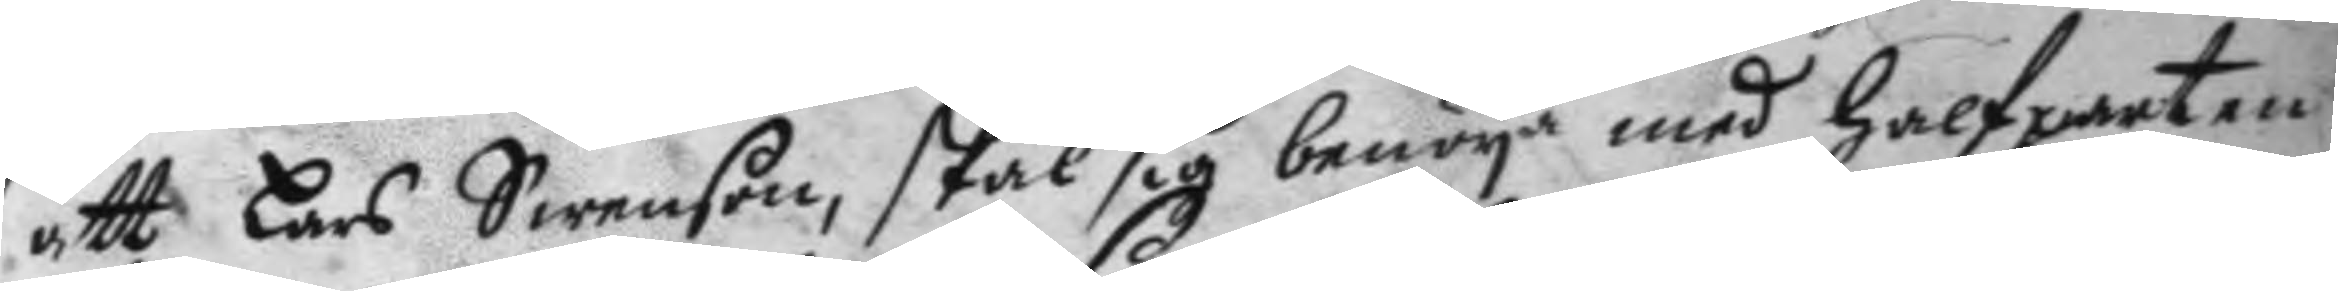att Lars Swenson, skal sig benöya med halfparten
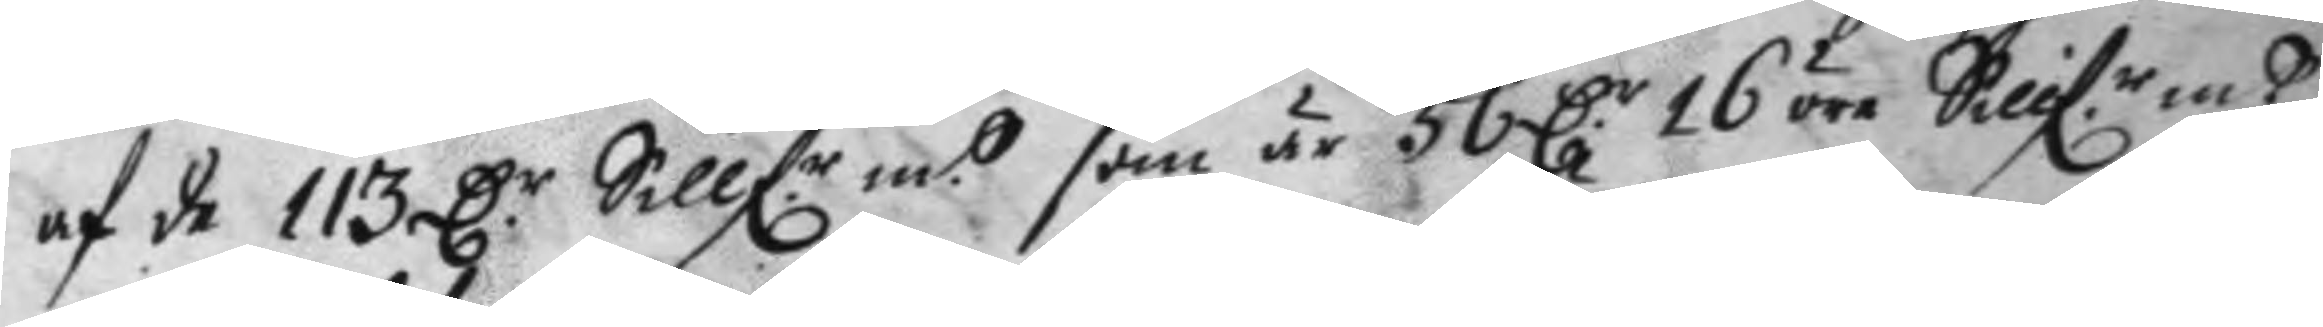af de 113 D.r Sillf.r mtt som är 56 D.r 16 öre Sillf.r mtt
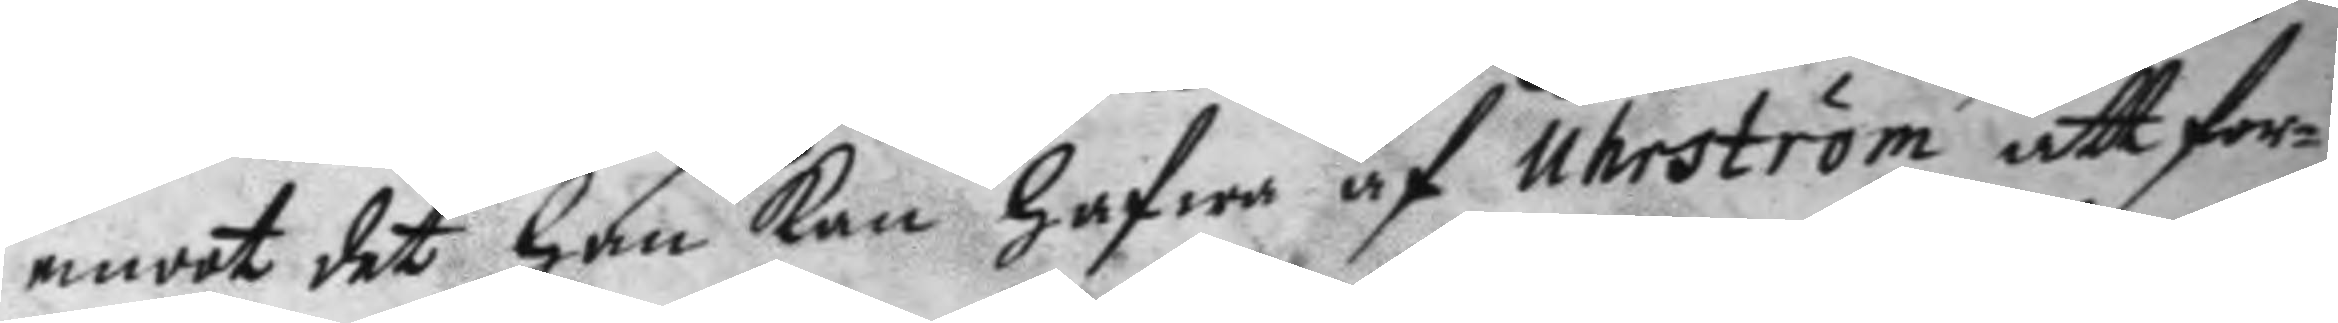emot det han kan hafwa af Uhrström att for¬
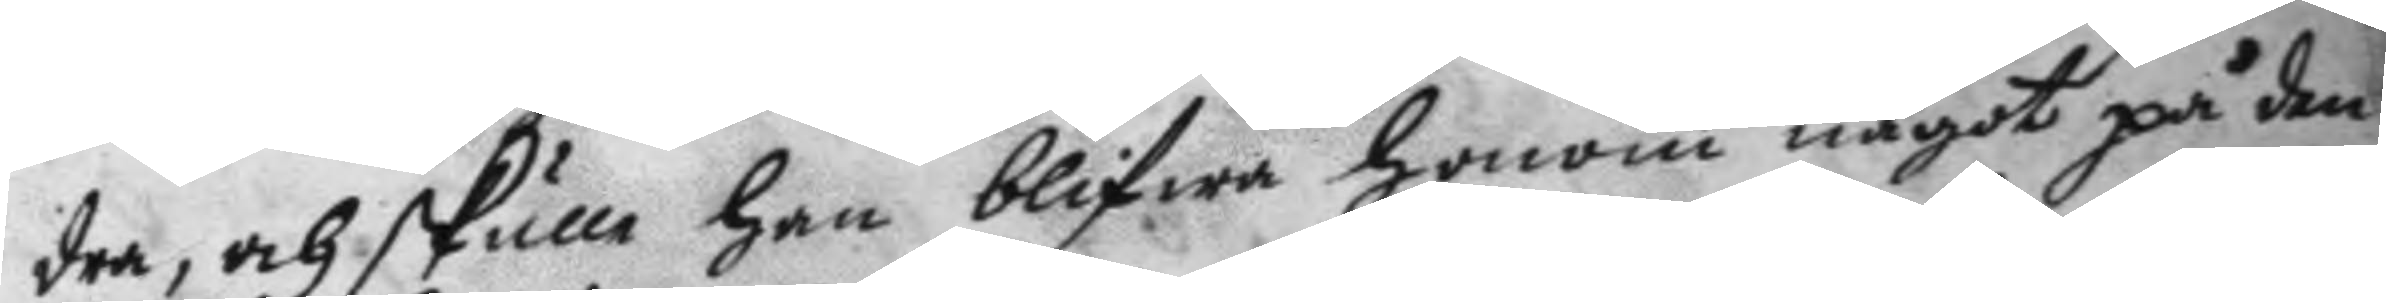dra, och skulle han blifwa honom något på den
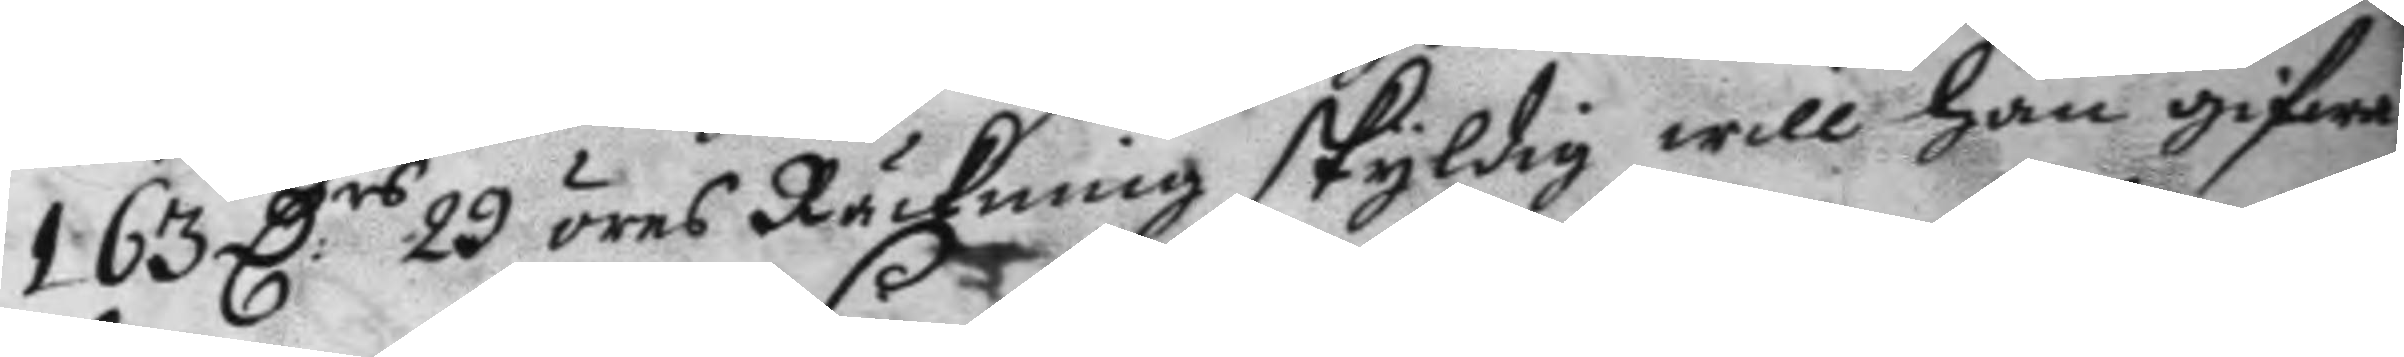163 D.rs 29 öres Räckning skyldig will han gifwa
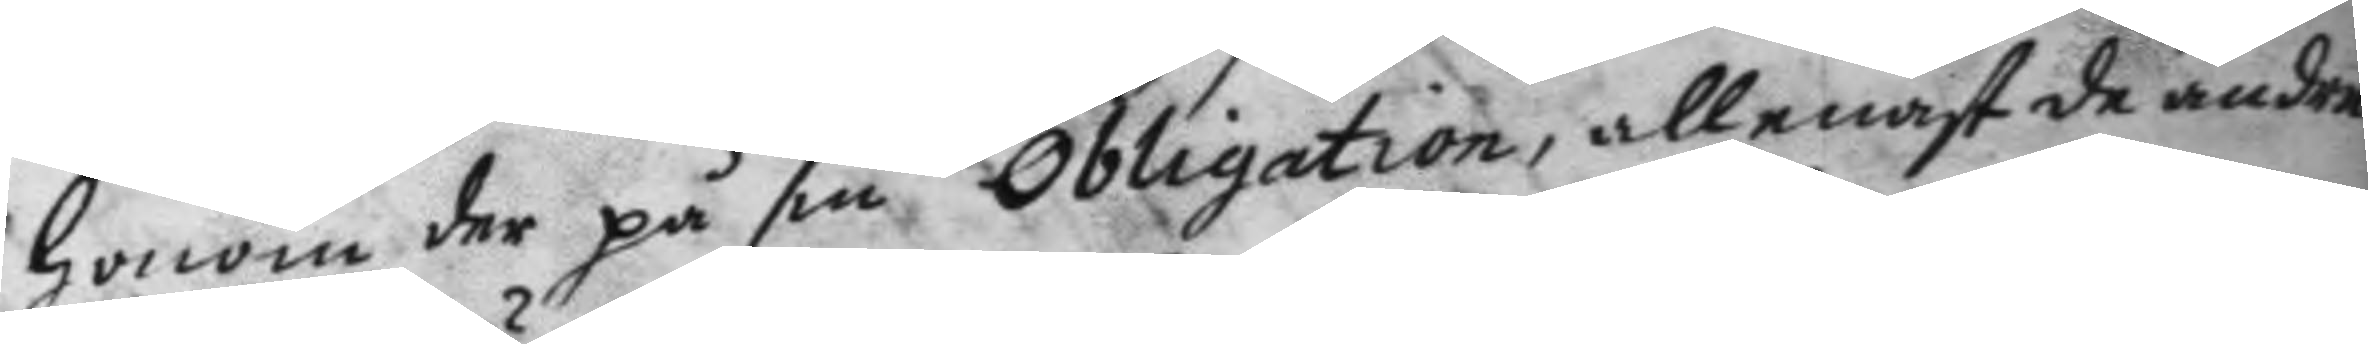honom der på sin Obligation, allenast de andra
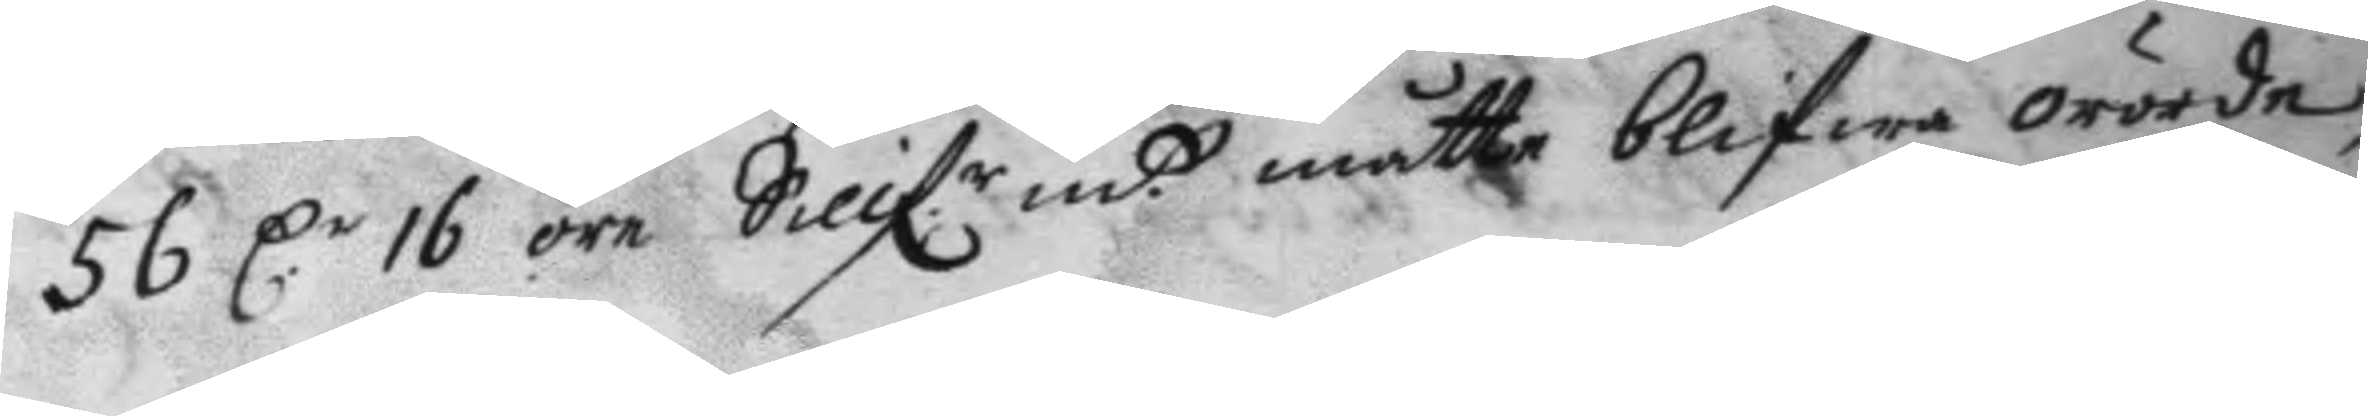56 D.r 16 öre Sillf.r mtt måtte blifwa orörde
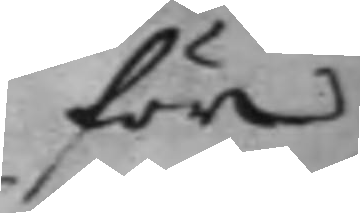för
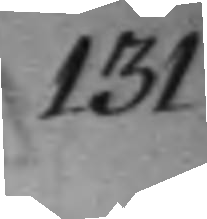131
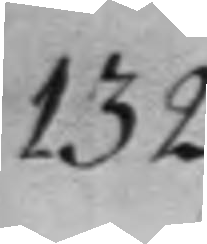132
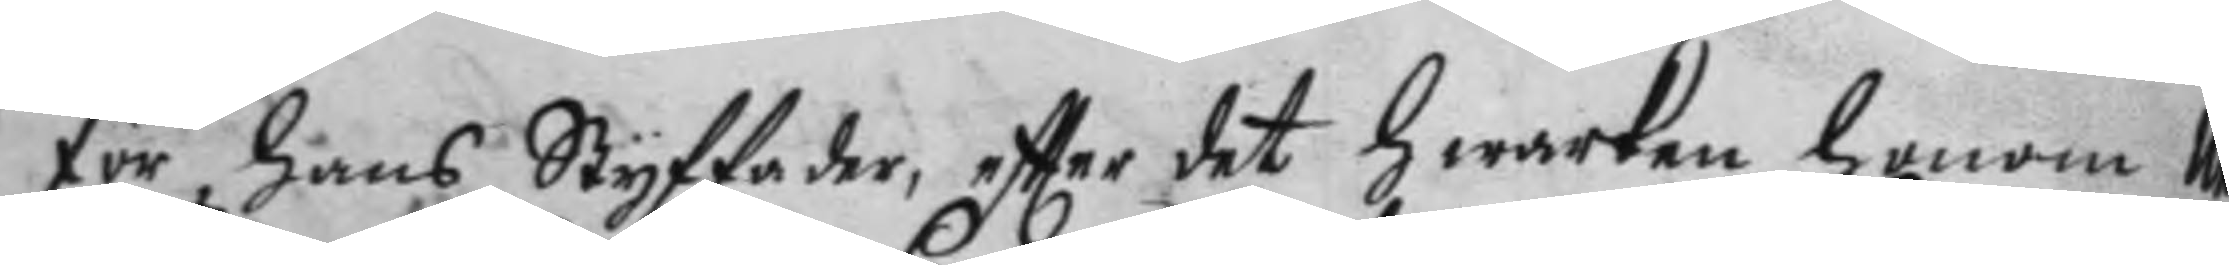för hans Styffader, eftter det hwarken honom Uhr¬
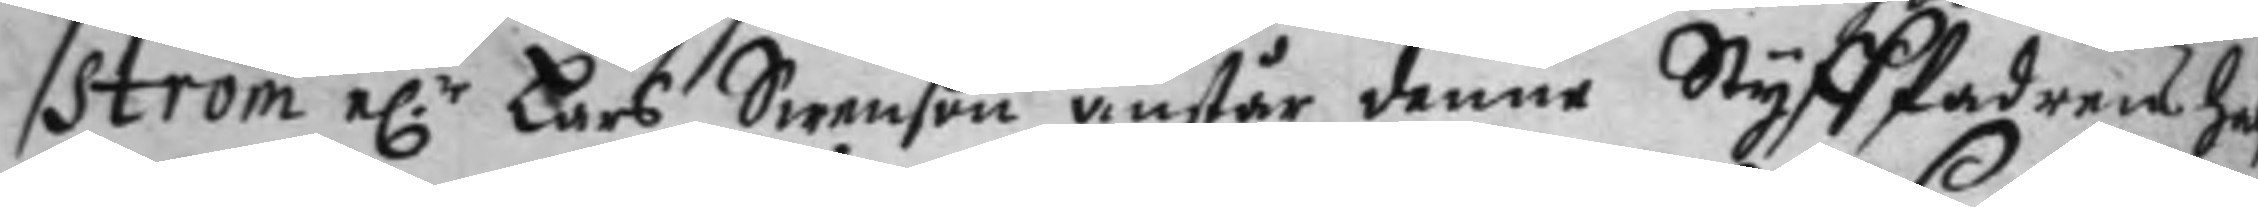ström e.r Lars Swenson anstår denne Styff fadrens hal¬
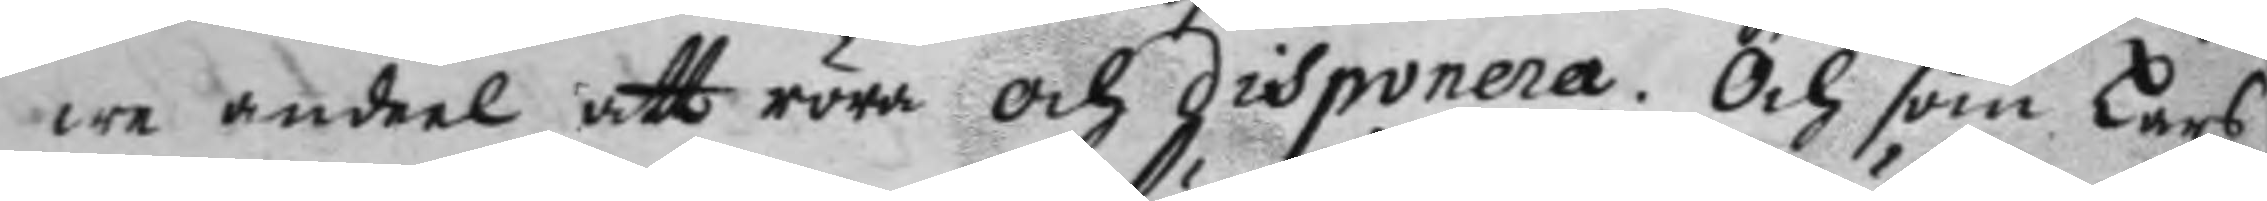we andeel att röra och disponera. Och somLars
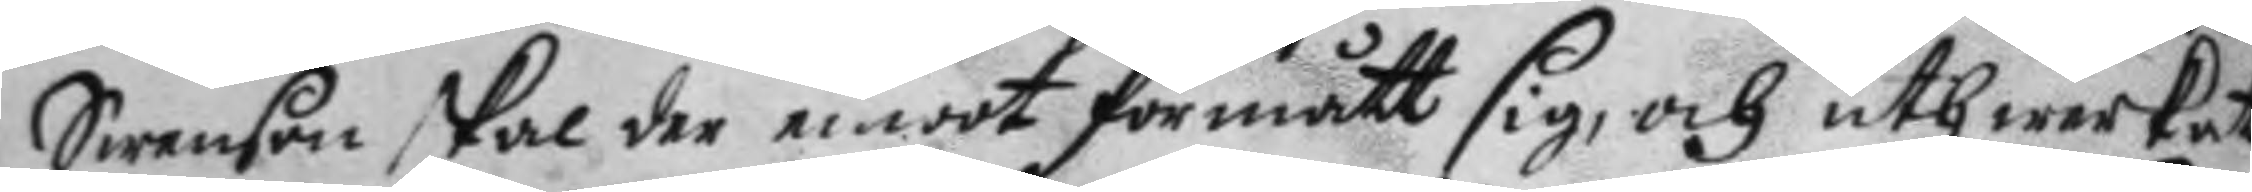Swenson skal der emot förmått sig, och uthwerkat
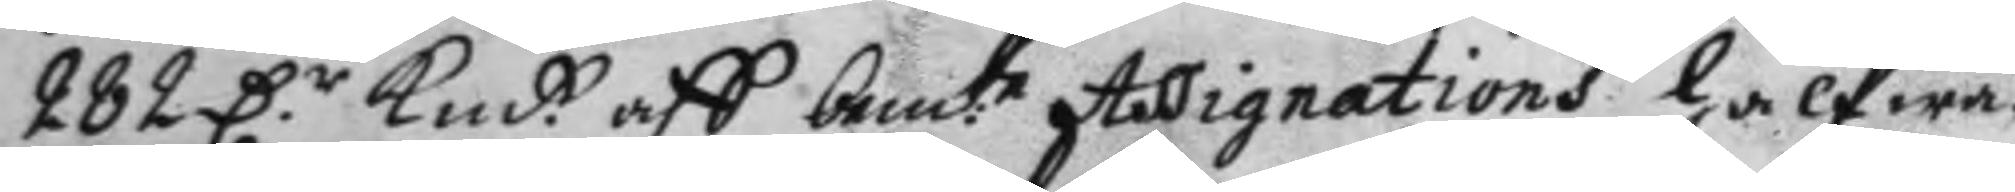282 D.r Kmt. aff bem.te Assignations halfwa
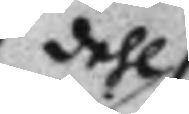dehl 
